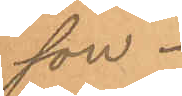son.
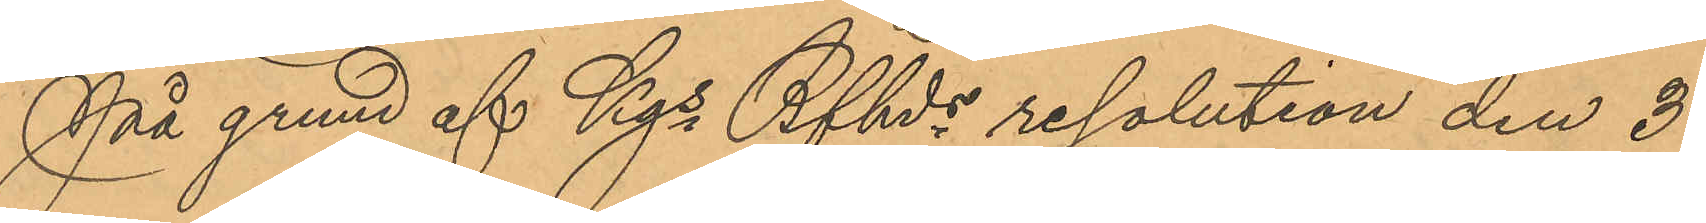På grund af Kgs Bfhds resolution den 3
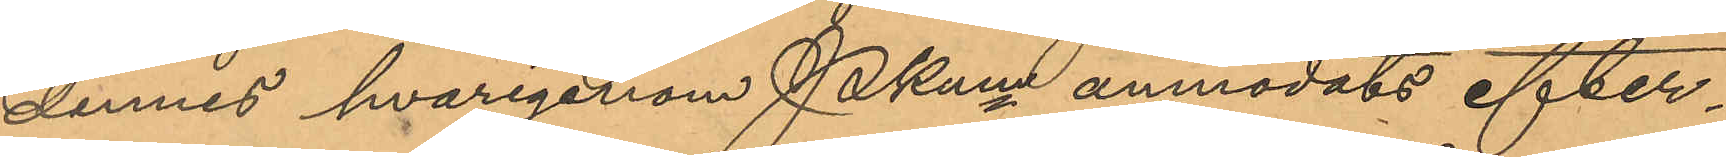dennes hvarigenom Pkmn anmodats efter¬
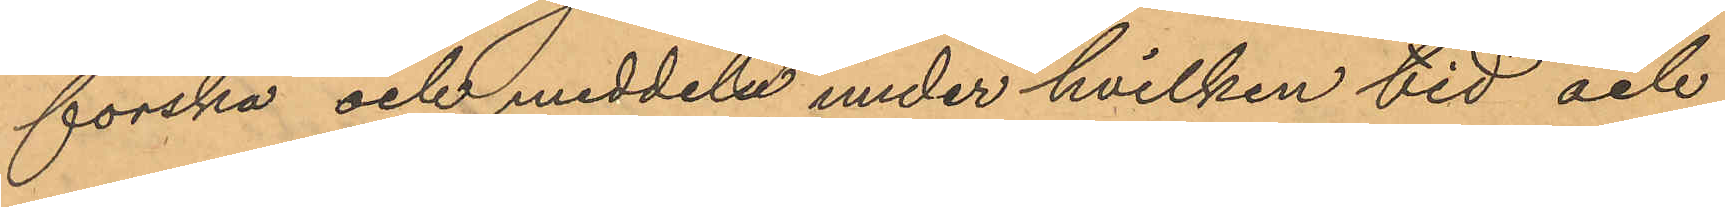forska och meddela under hvilken tid och
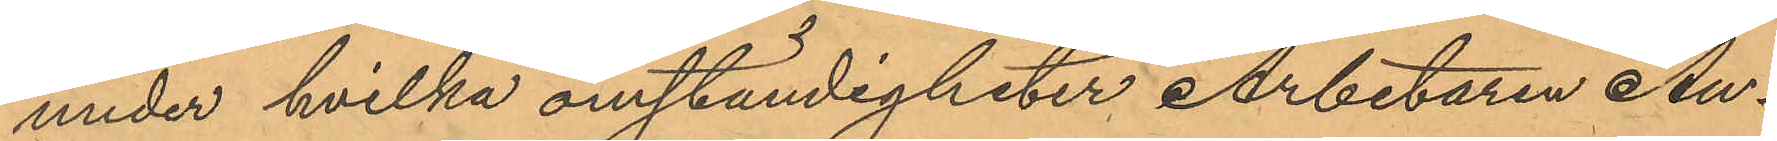under hvilka omständigheter Arbetaren An¬
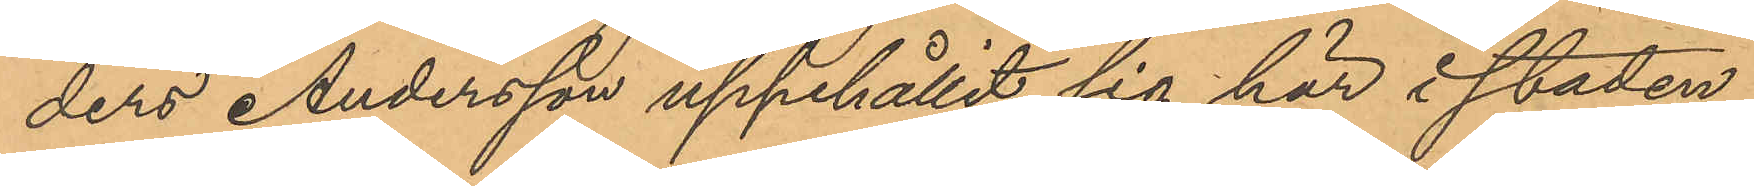ders Andersson uppehållit sig här i staden,
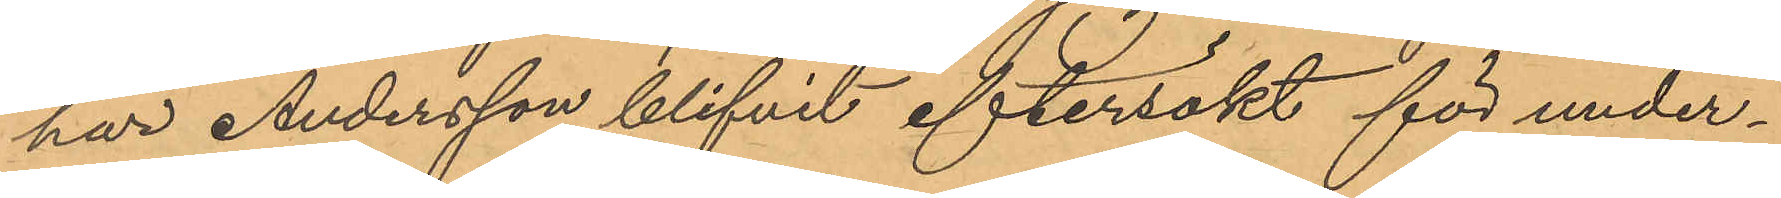har Andersson blifvit eftersökt för under¬
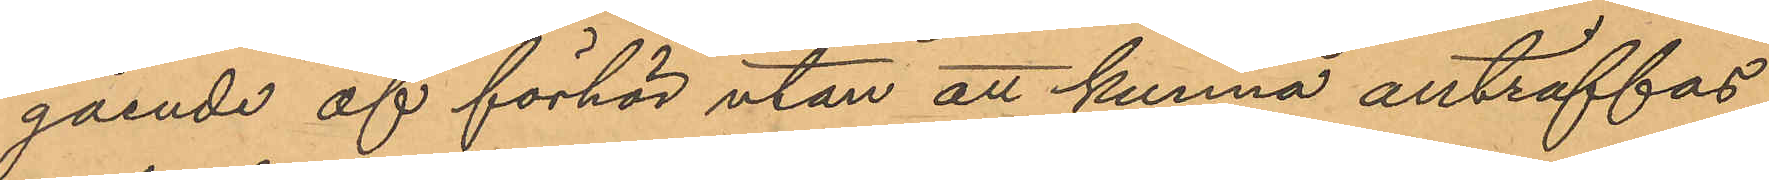gående af förhör utan att kunna anträffas,
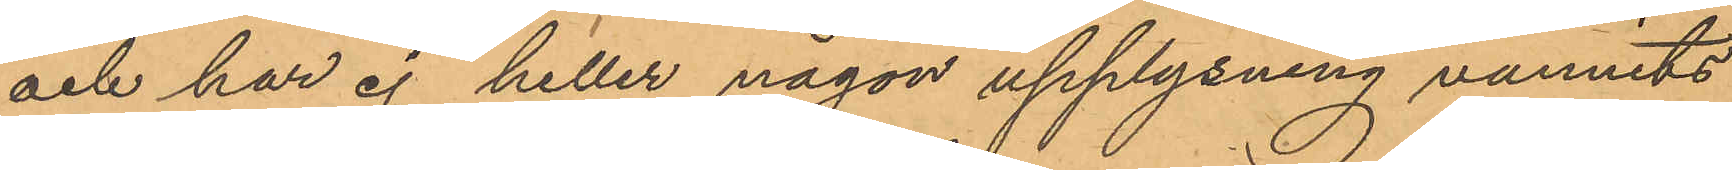och har ej heller någon upplysning vunnits
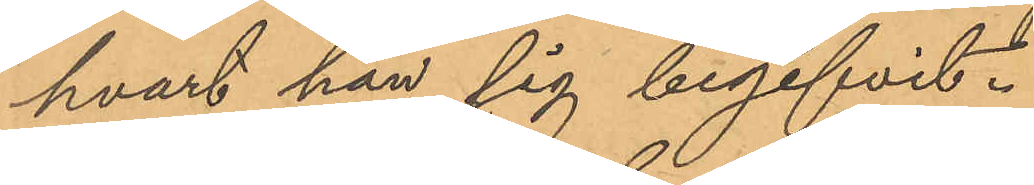hvart han sig begifvit.
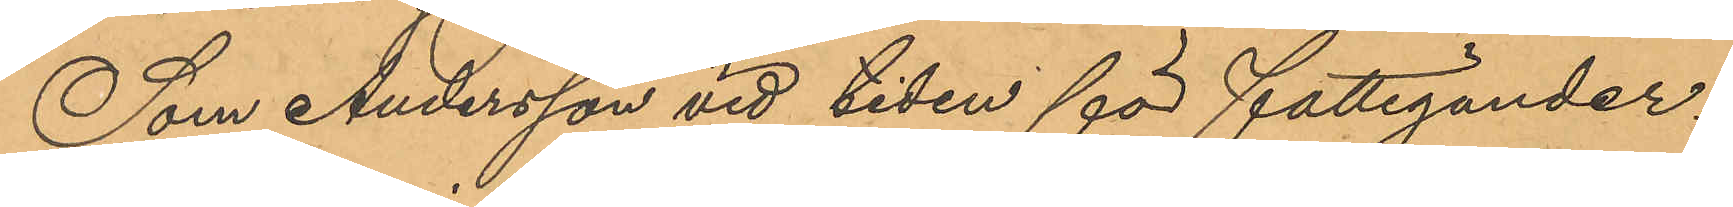Som Andersson vid tiden för fattigunder¬
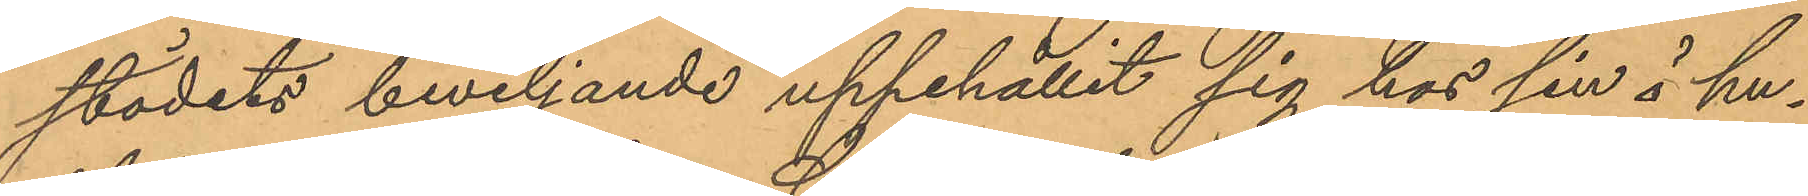stödets beviljande uppehållit sig hos sin i hu¬
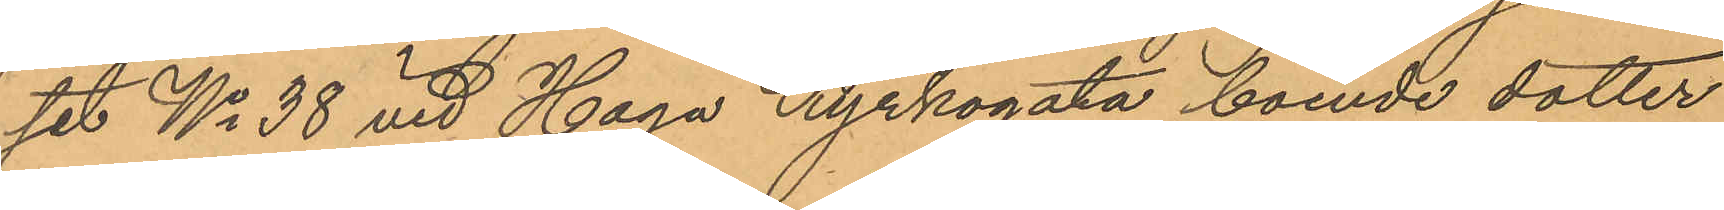set No 38 vid Haga Kyrkogata boende dotter
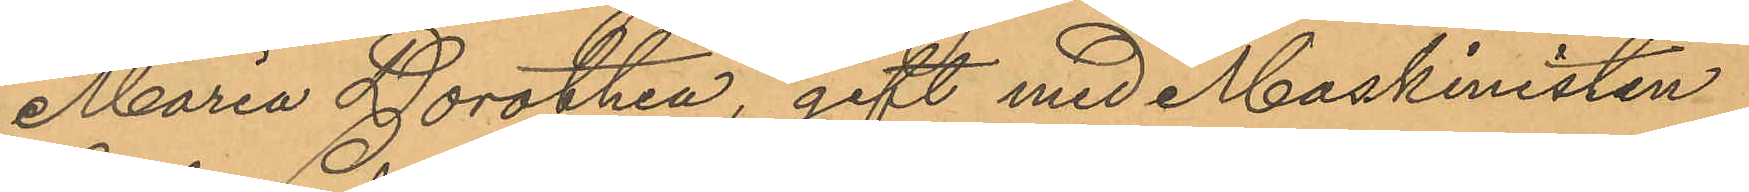Maria Dorothea, gift med Maskinisten
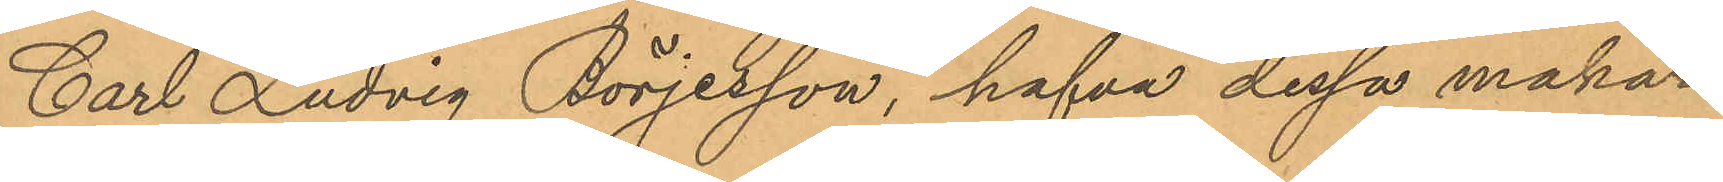Carl Ludvig Börjesson, hafva dessa makar
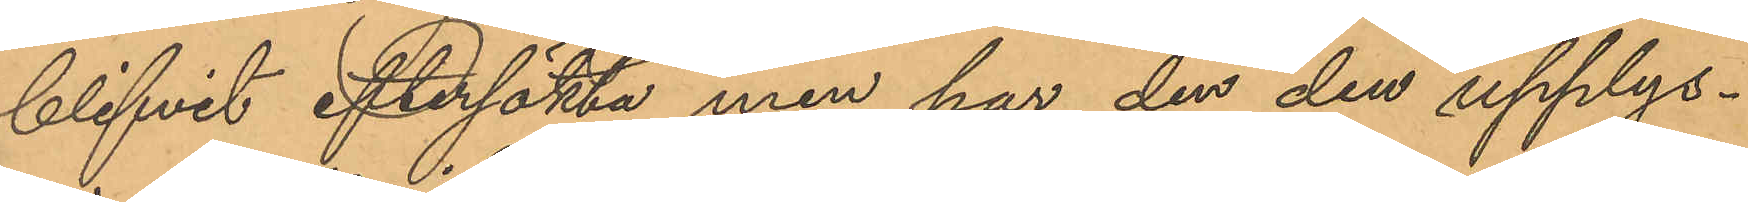blifvit eftersökta men har der den upplys¬
